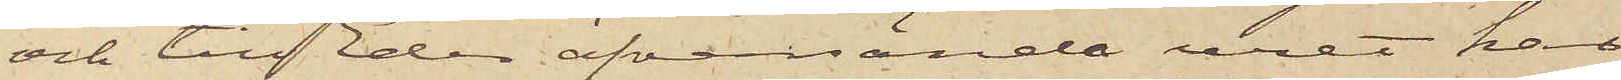och till der öfversände uret har
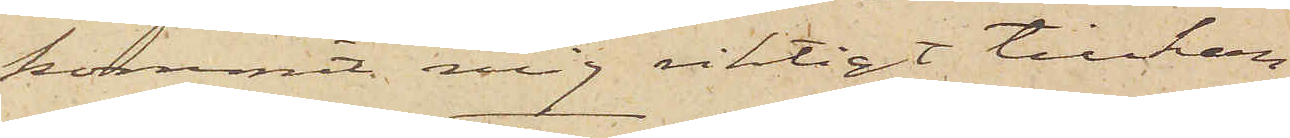kommit mig riktigt tillhan¬
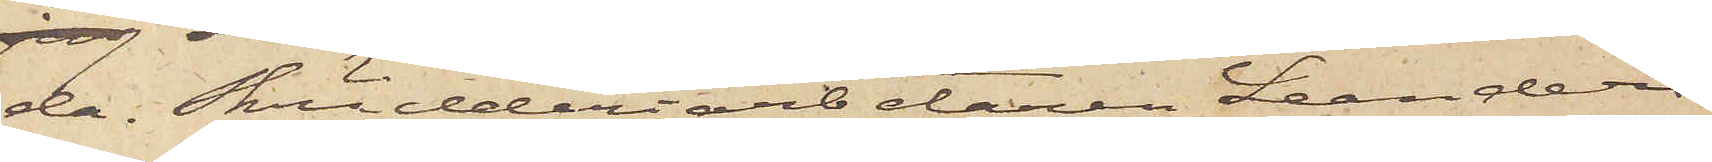da. Skrädderiarbetaren Leanders
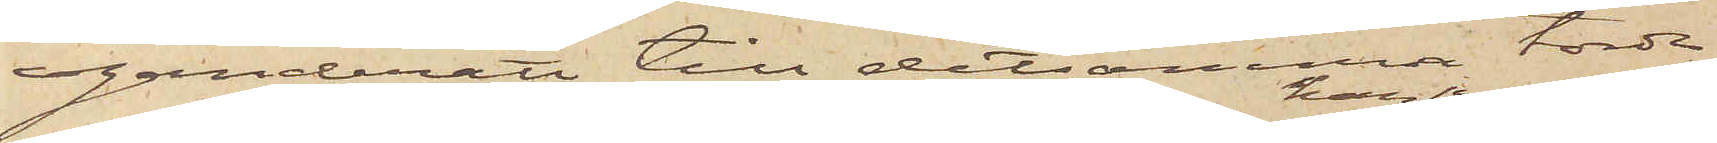eganderätt till detsamma torde
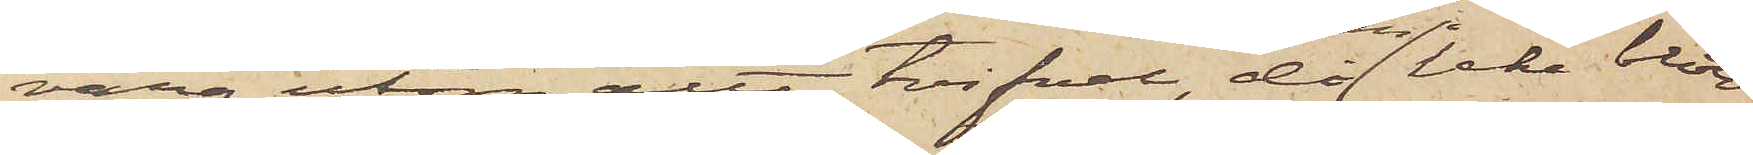vara utom att tvifvel, då han icke blott
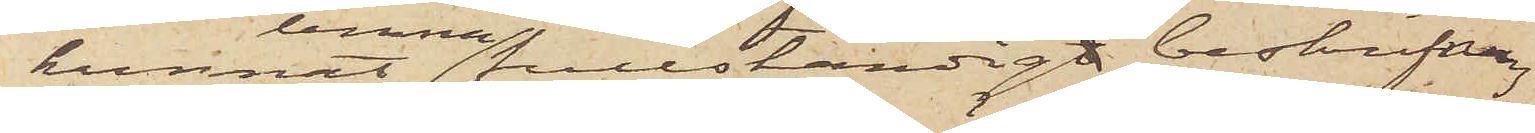kunnat lemna fullständigt beskrifvning
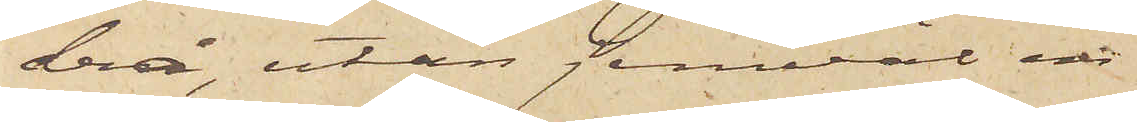derå, utan jemväl en
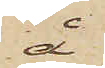å
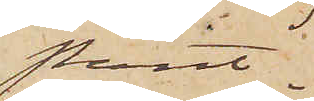Pant¬
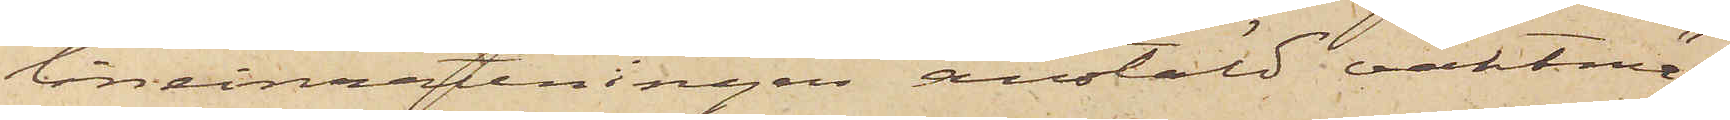låneinrättningen anstäld vaktmä¬
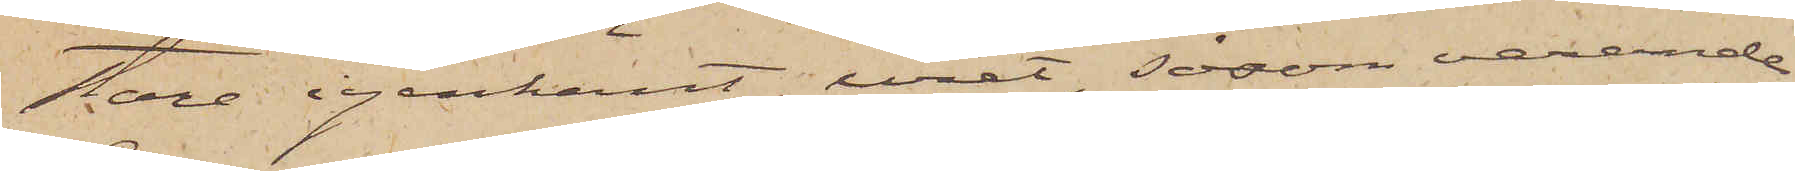stare igenkänt uret, såsom varande
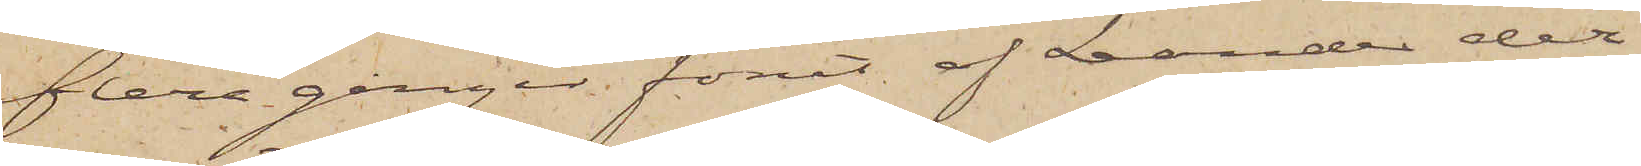flera gånger förut af Leander der
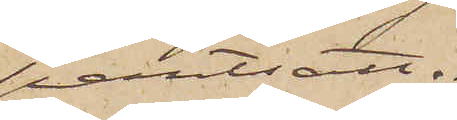pantsatt.
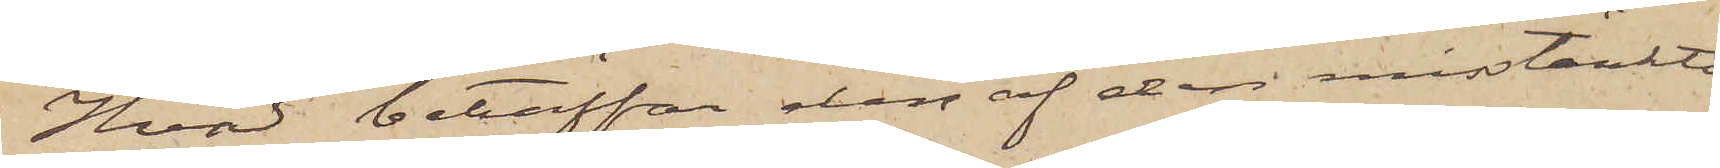Hvad beträffar den af den misstänkte
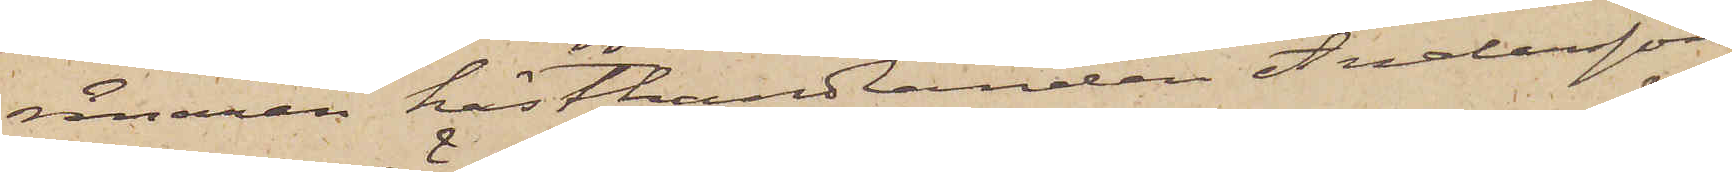rånaren hästhandlanden Andersson
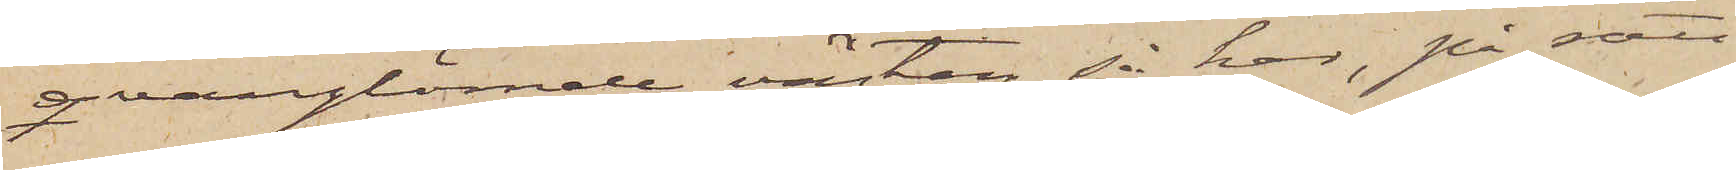qvarglömde västen så har, på sätt
